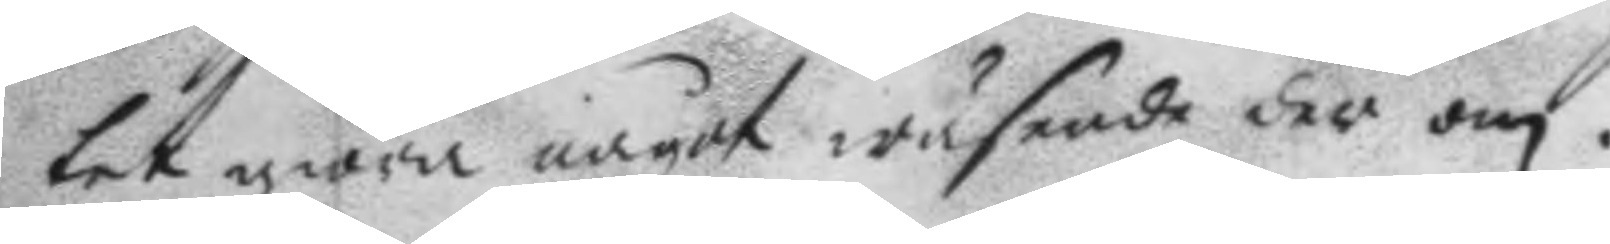tet giöra något wäsende der om.
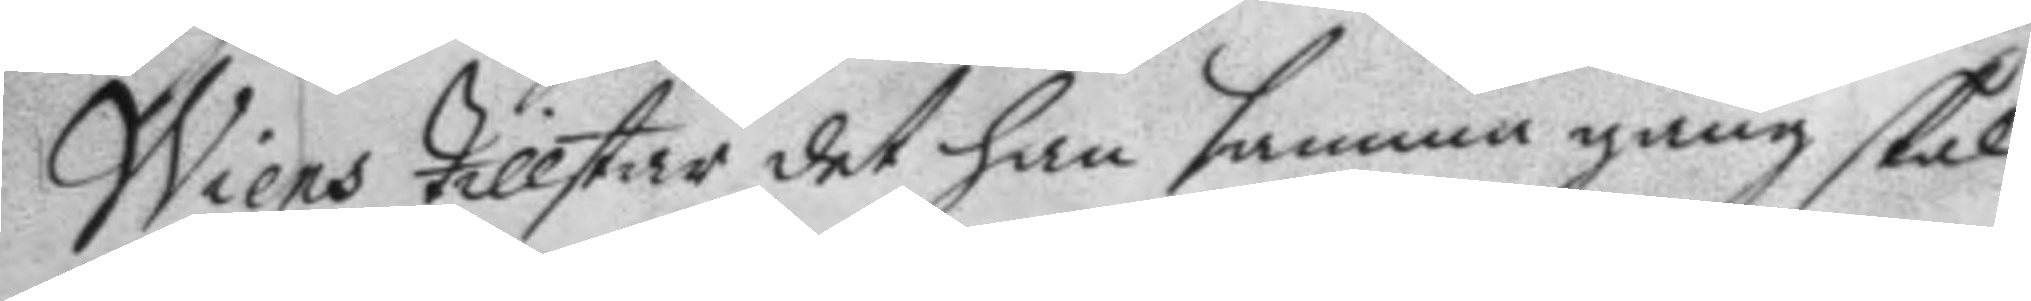Wiens tillstår det han samma gång skal
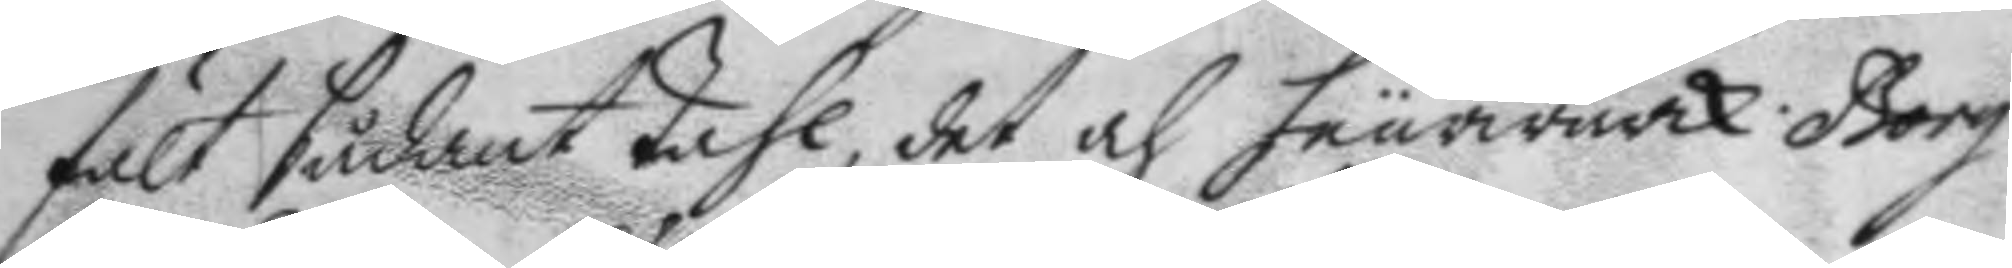fält sådant tahl, det och feurwärck. Borg 
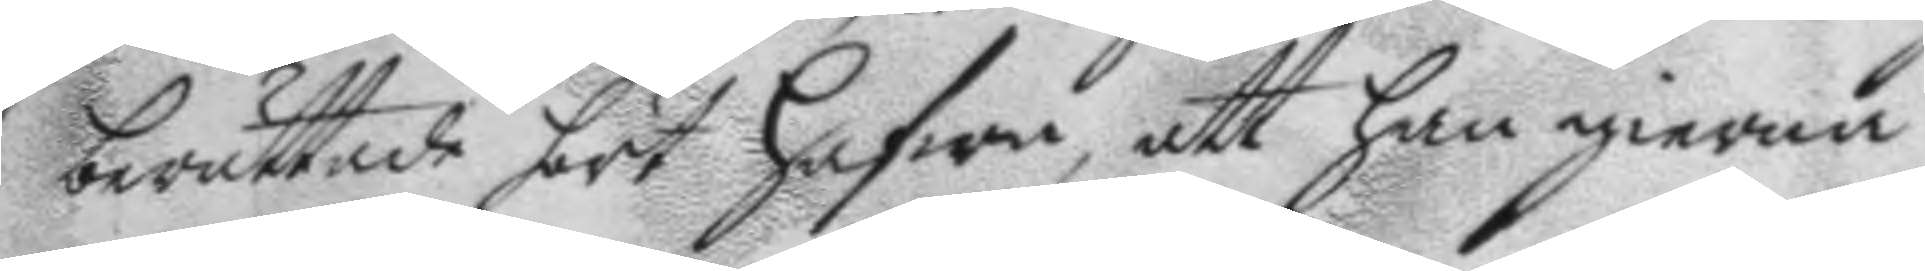berättade hört hafwa, att han gierna
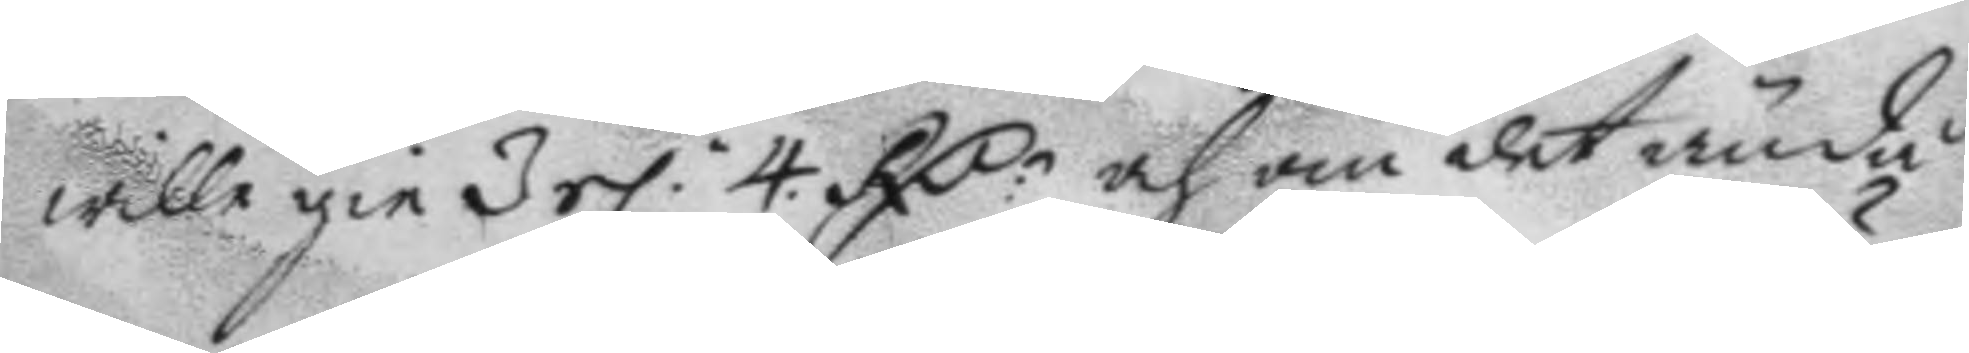wille gie 3 el: 4. RC.r och om det ändå 
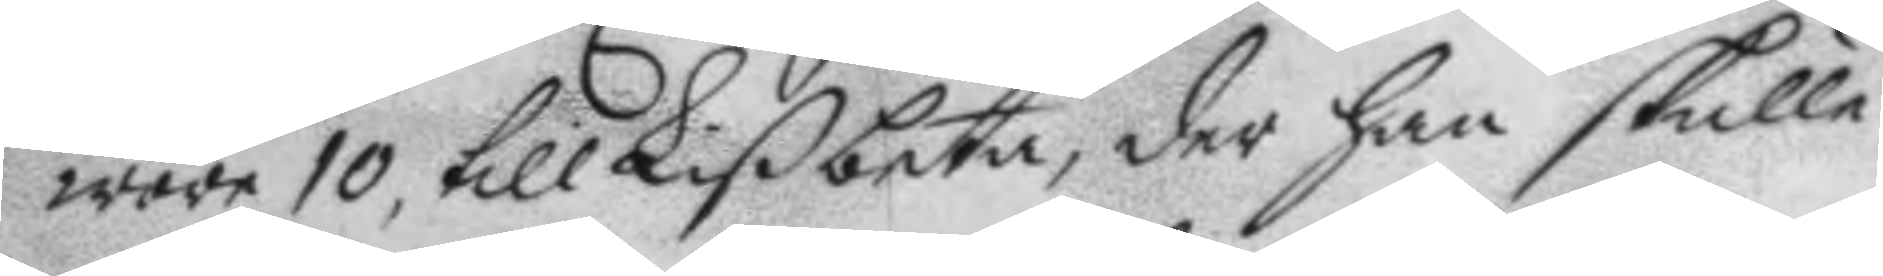wore 10, till Lißbeta, der han skulle
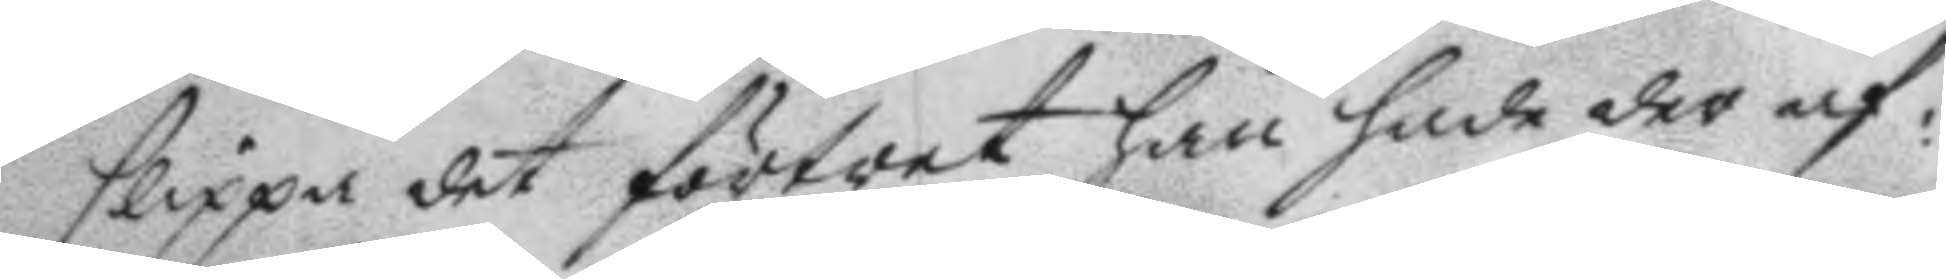slippa det förtret han hade der af:
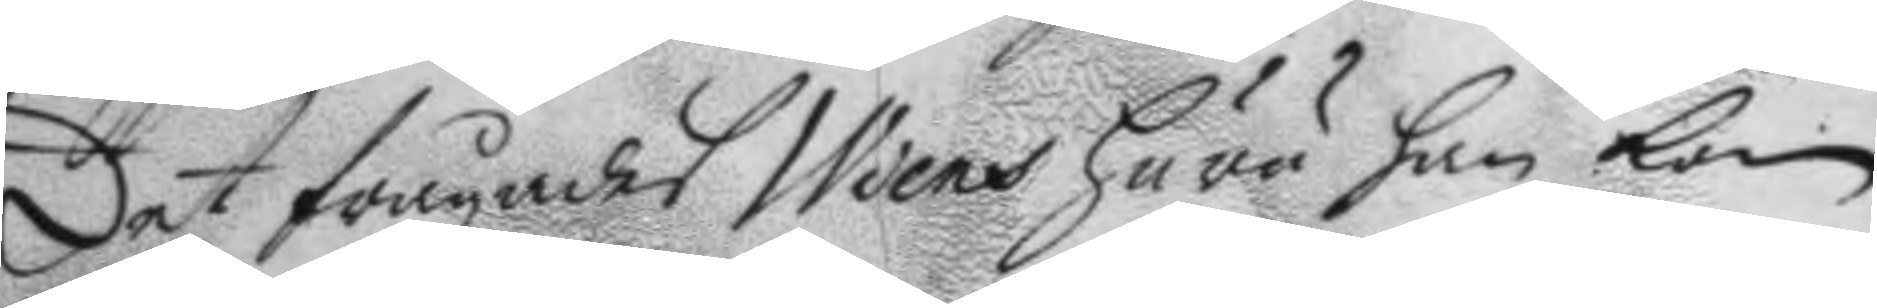Det frågades Wiens huru han kom
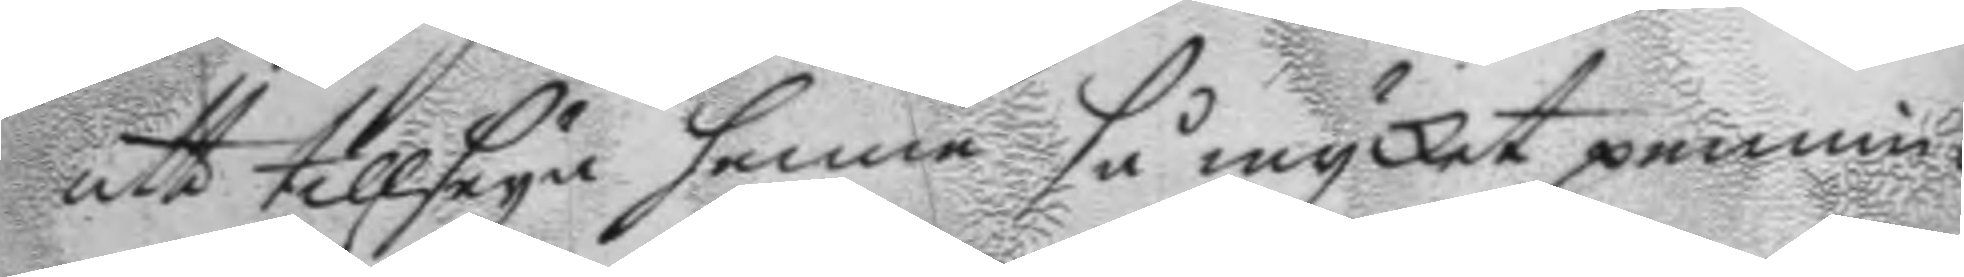att tillseya henne så mycket pennin¬
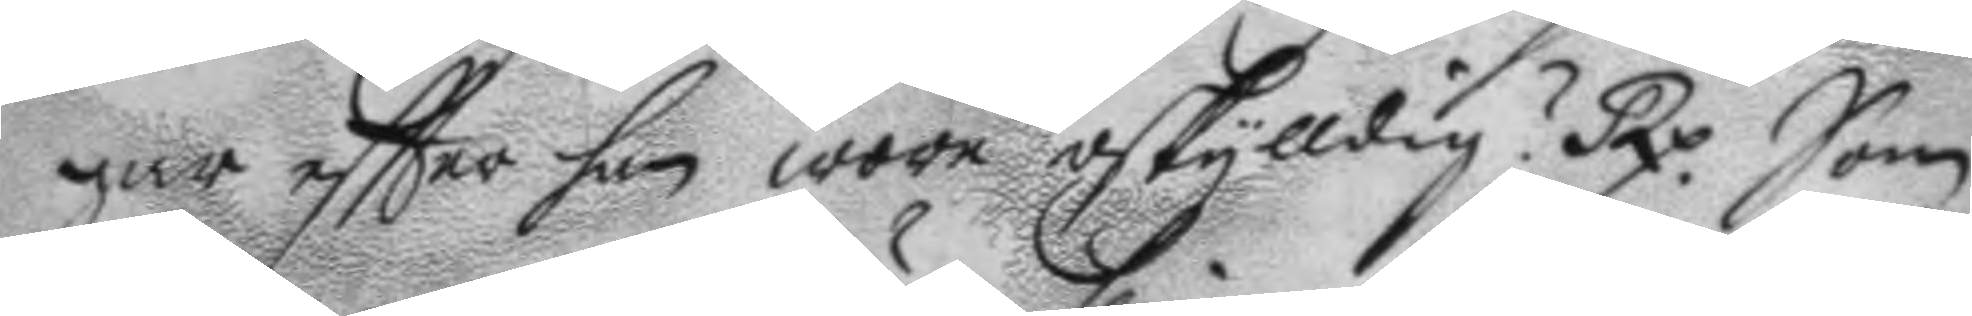gar eftter han wore oskylldig? Rx. Som 
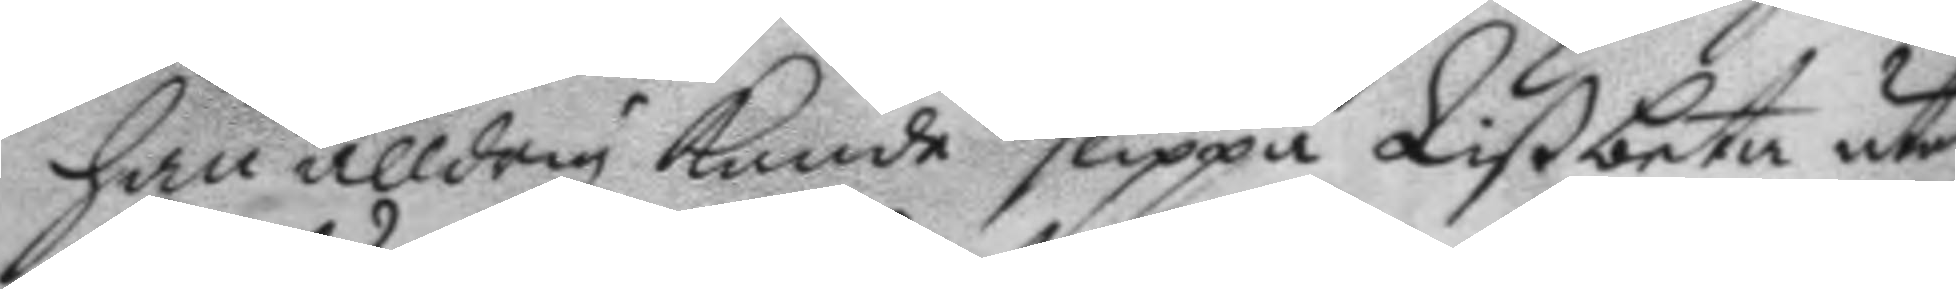han alldrig kunde slippa Lißbeta utan
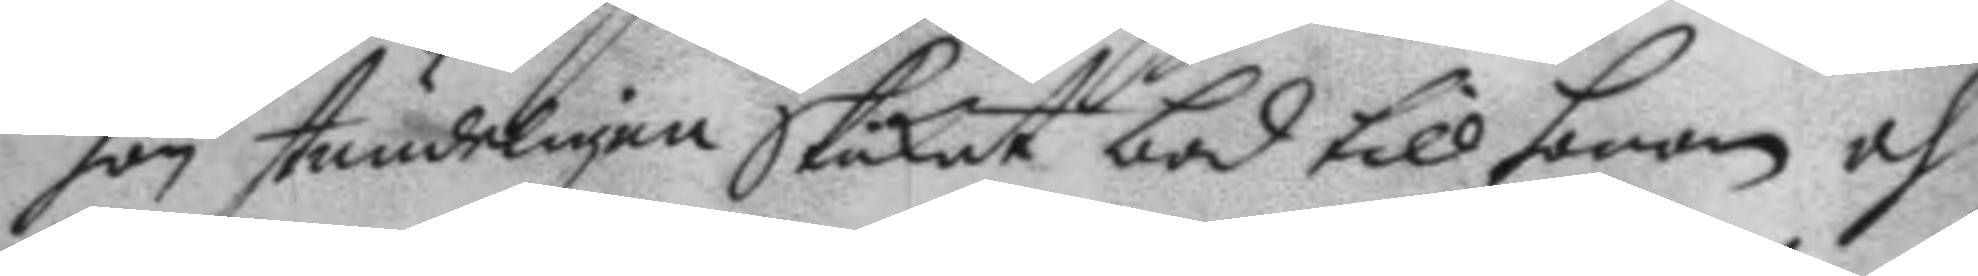hon stundeligen Skikat bod till honom och
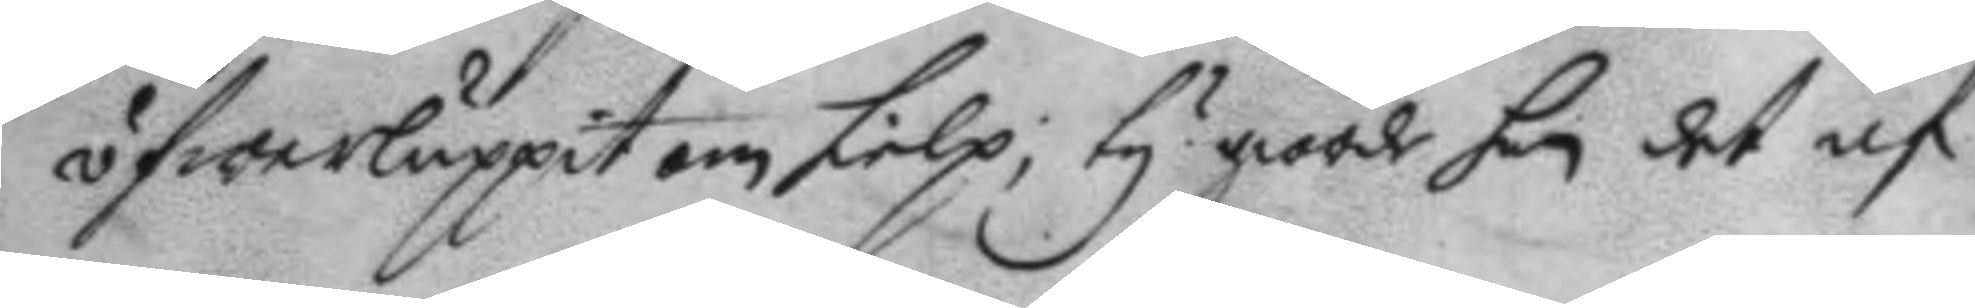öfwerluppit om ielp; ty giorde han det af
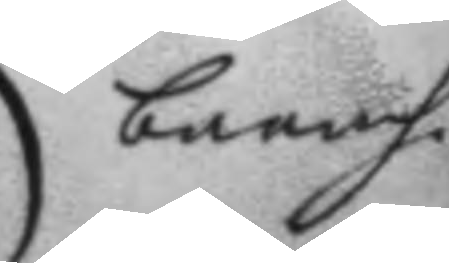barnh.
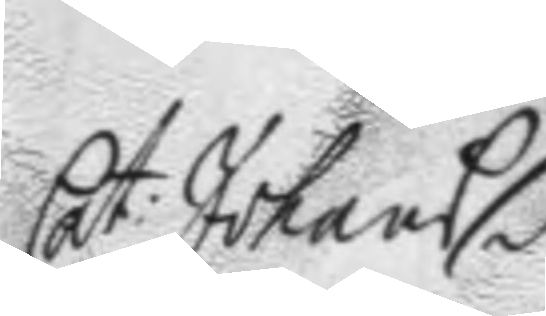Cat: Johans dr. 
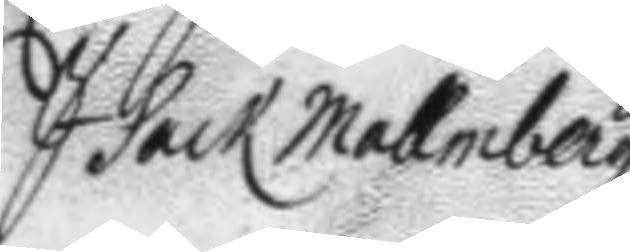Isack Mallmberg
